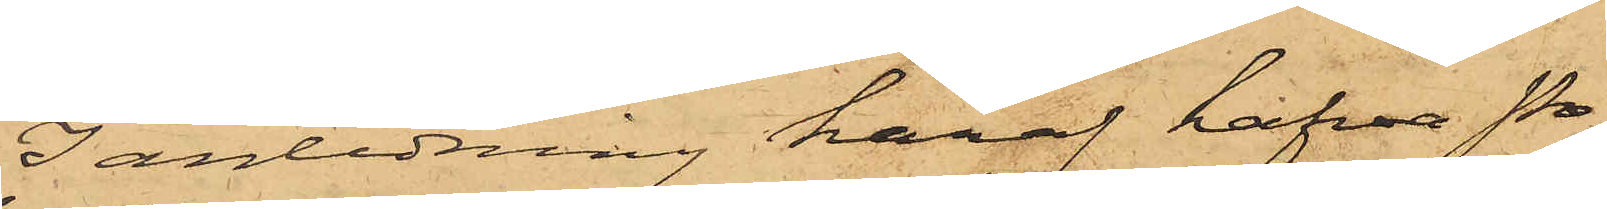I anledning häraf hafva Po¬
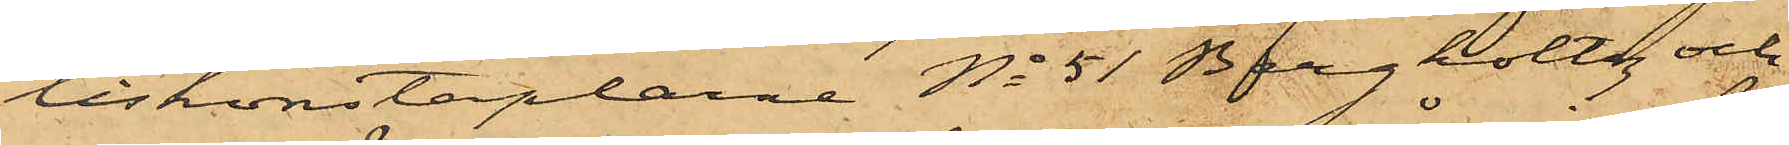liskonstaplarne No 51 Bergholtz och
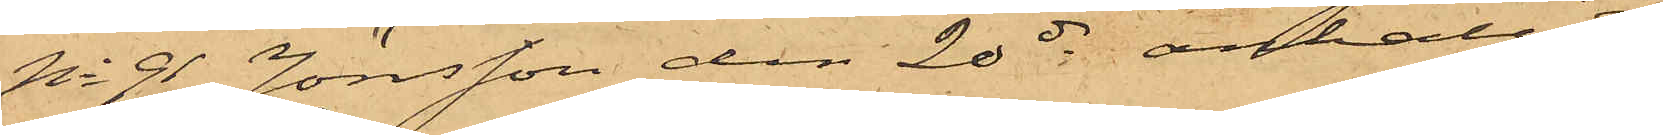No 91 Jönsson den 20 ds anhållit
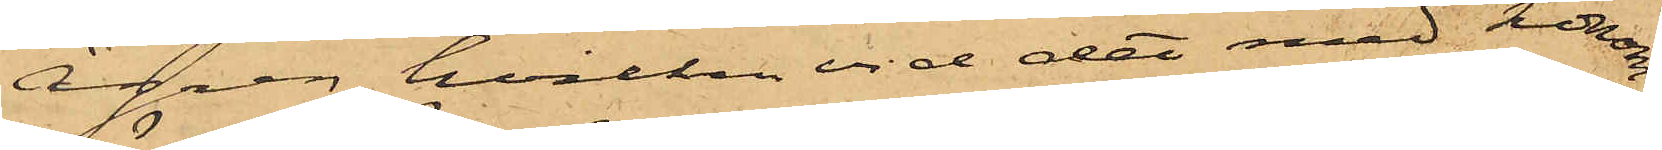Ågren, hvilken vid det med honom
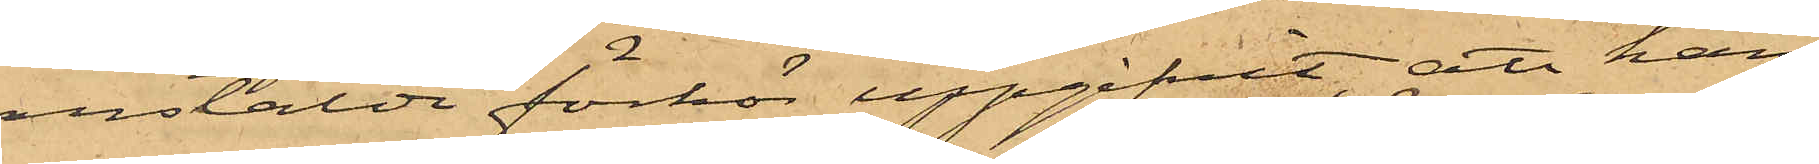anstälda förhör uppgifvit, att han
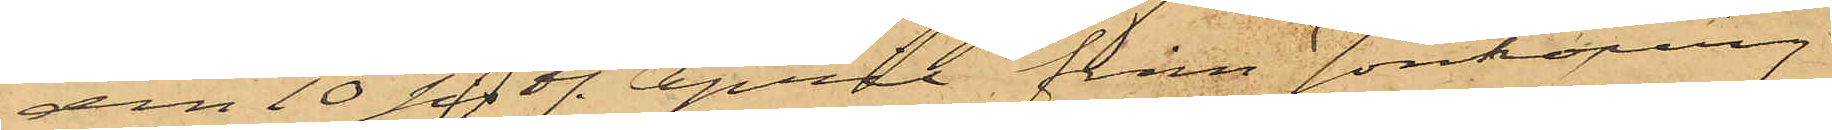den 10 sistl. April från Jönköping
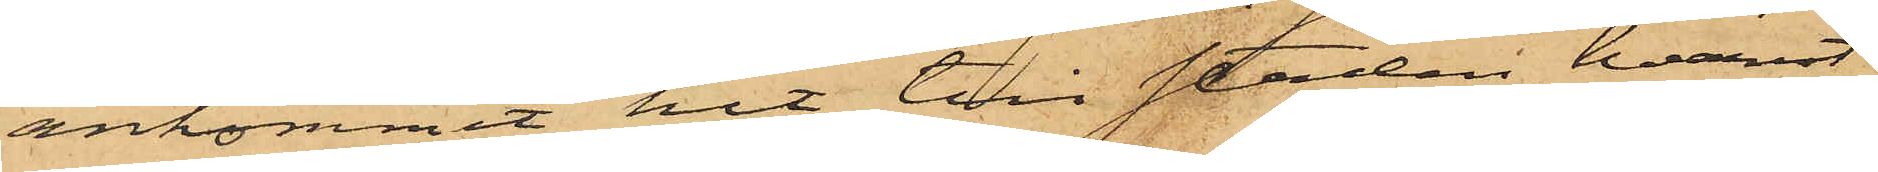ankommit hit till staden, hvarest
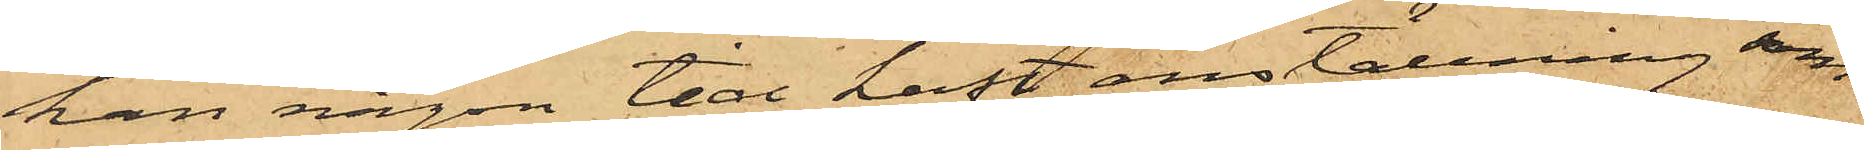han någon tid haft anställning som
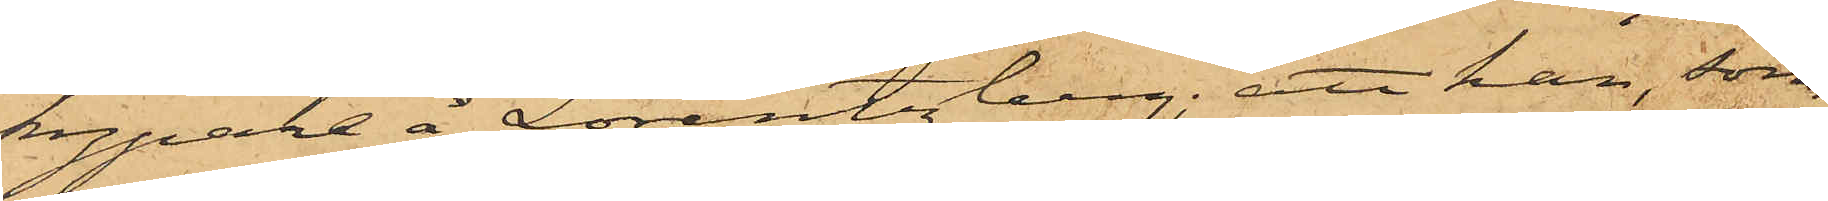kypare å Lorentzberg; att han, som
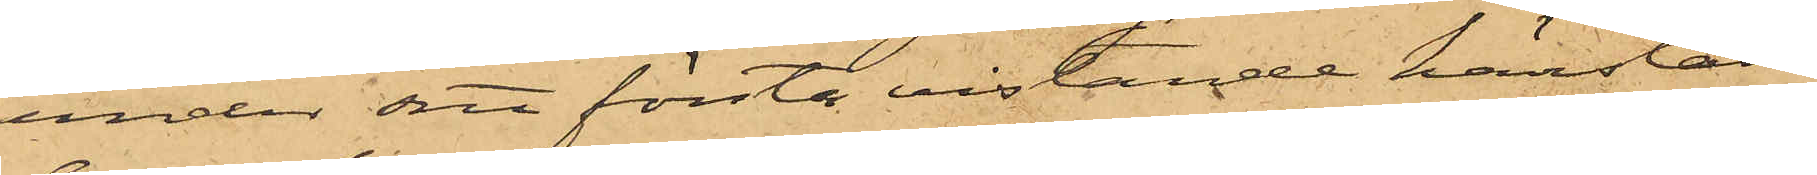under sitt första vistande härstädes
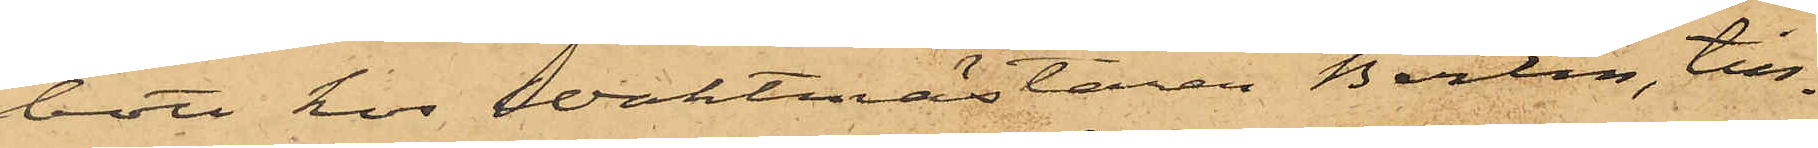bott hos Waktmästaren Berlin, till¬
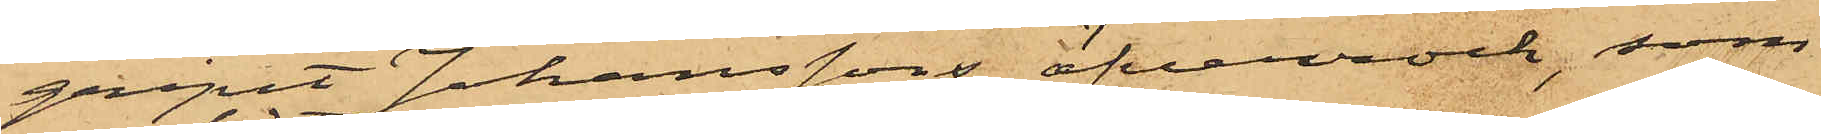gripit Johanssons öfverrock, som
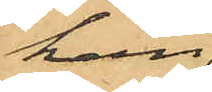han
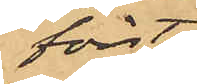först
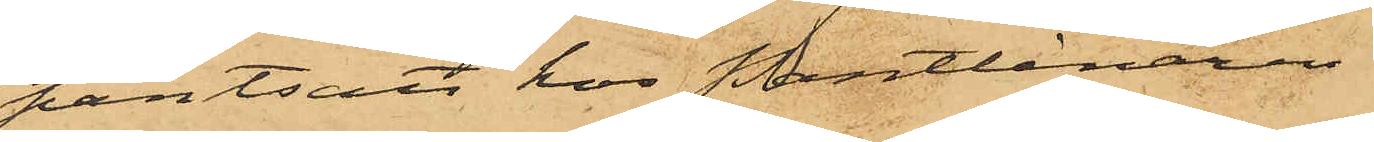pantsatt hos Pantlånaren
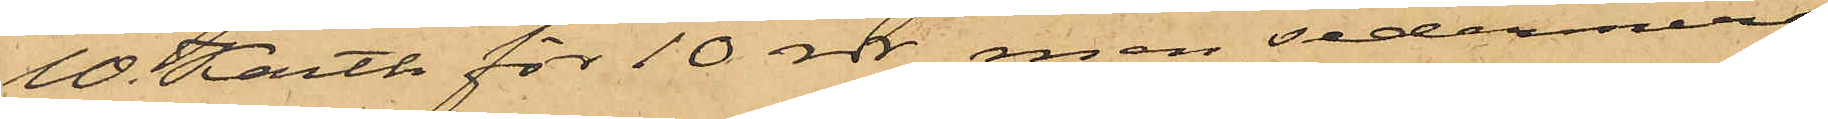W. Karth för 10 rdr, men sedermera
